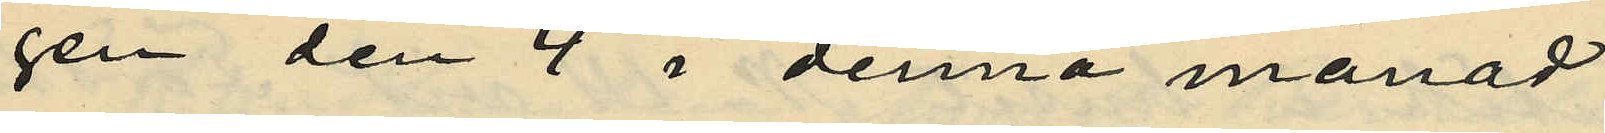gen den 4 i denna månad
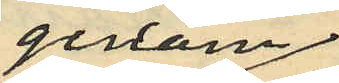genom
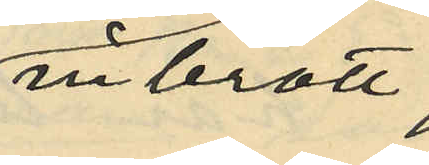inbrott,
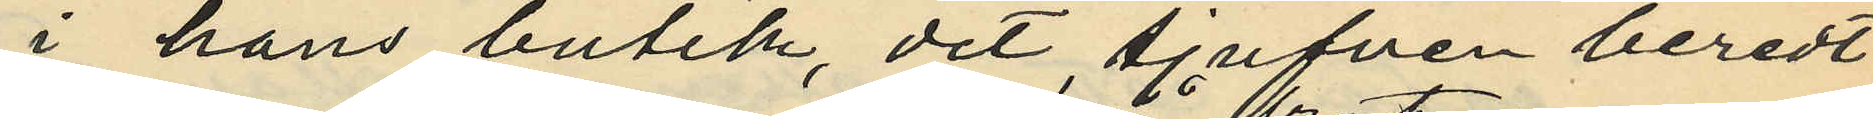i hans butik, dit tjufven beredt
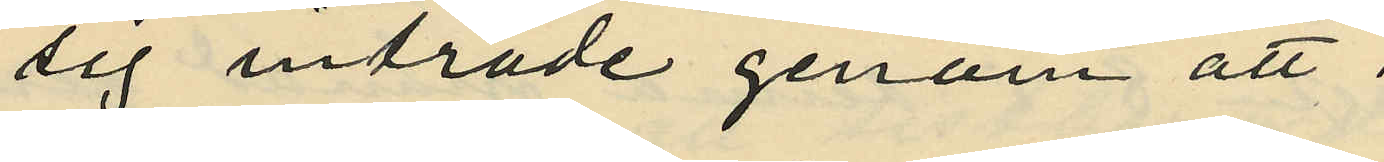sig inträde genom att
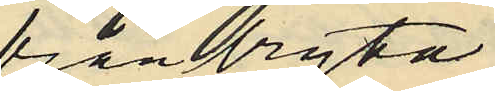frånbryta
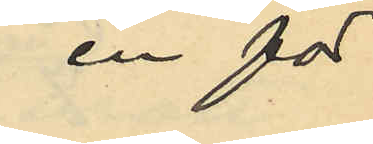en för
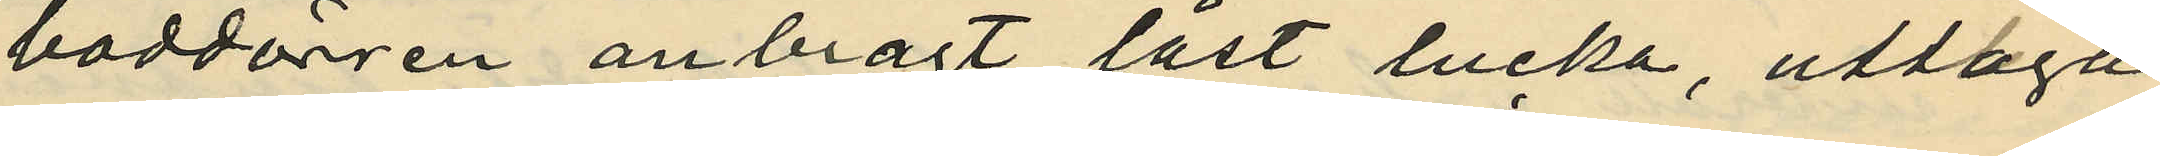boddörren anbragt låst lucka, uttaga
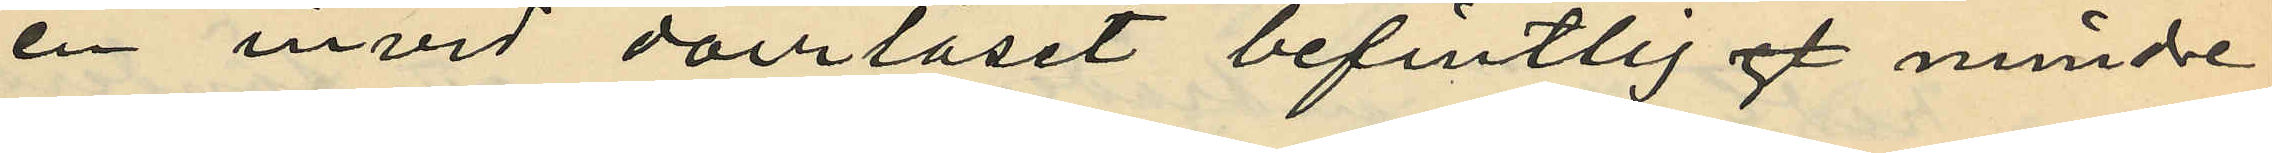en invid dörrlåset befintlig mindre
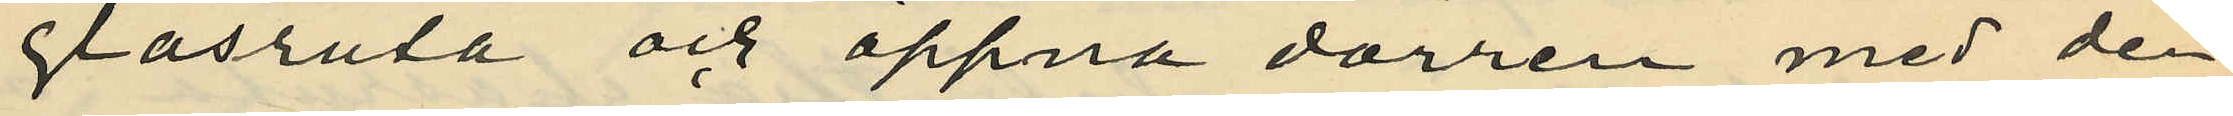glasruta och öppna dörren med den
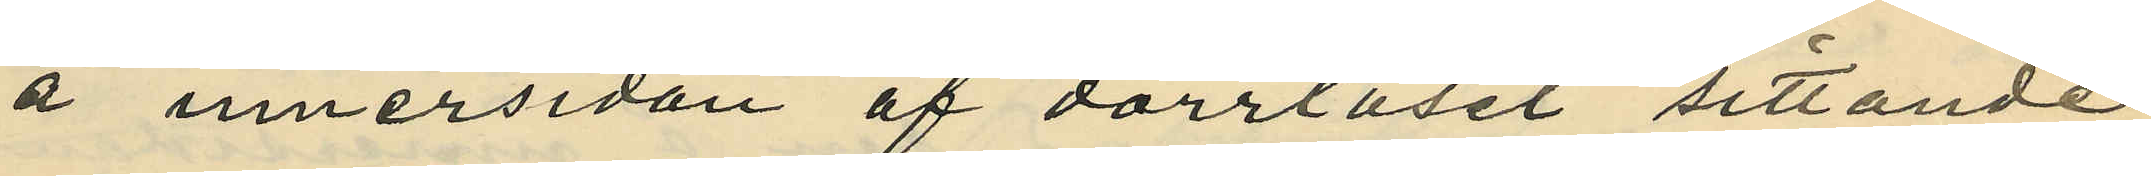å innersidan af dörrlåset sittande
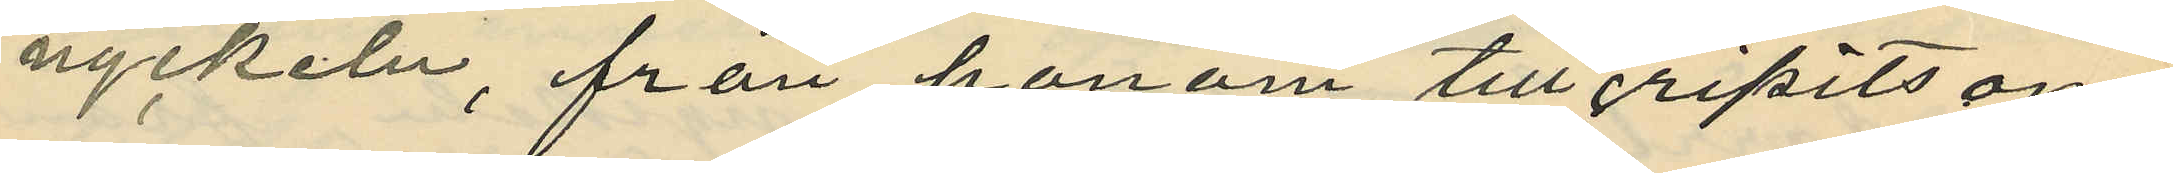nyckeln, från honom tillgripits om¬
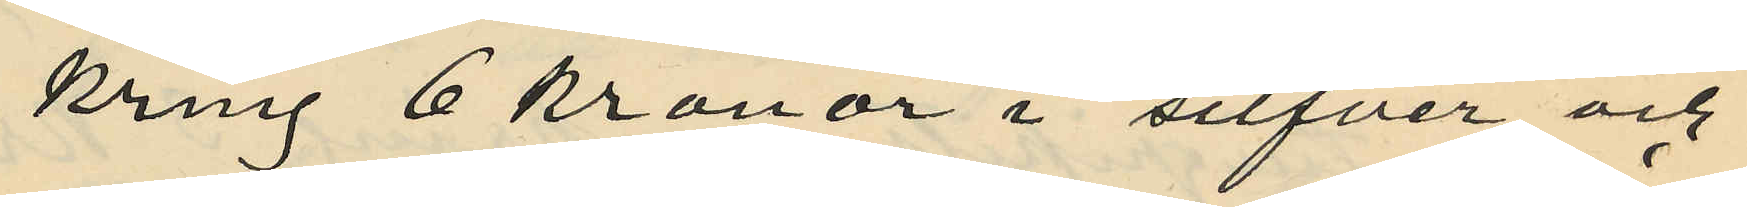kring 6 kronor i silfver och
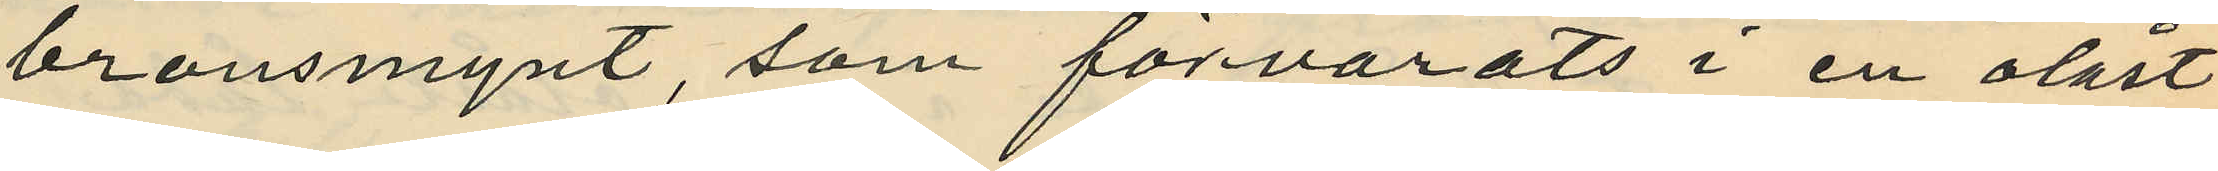bronsmynt, som förvarats i en olåst
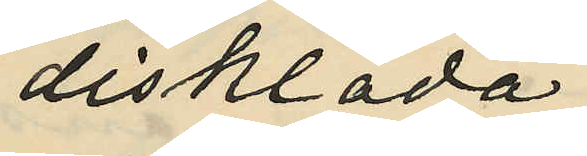disklåda;
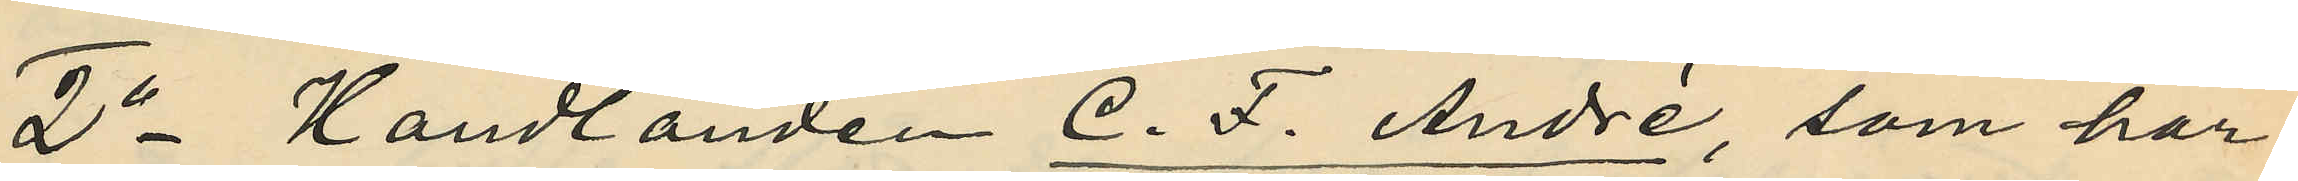2o Handlanden C. F. André, som har
